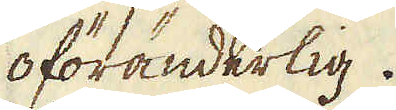oföränderlig.
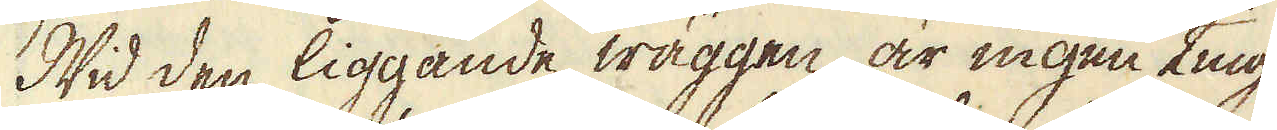Wid den liggande wäggen är ingen ting
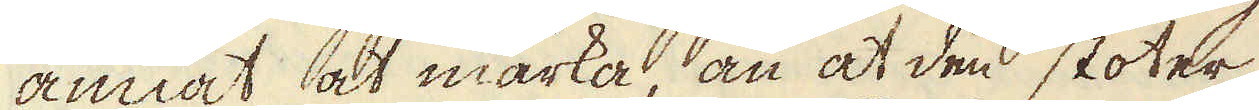annat at märka, än at den stöter
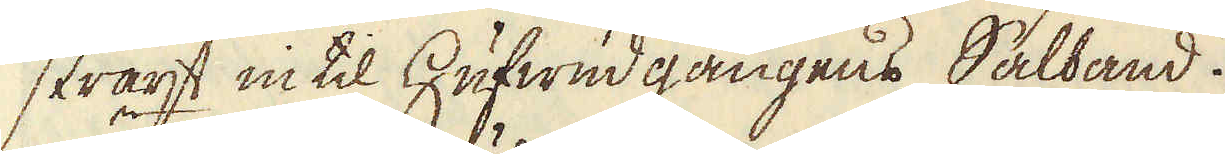straxt in til Hufwud gångens Salband.
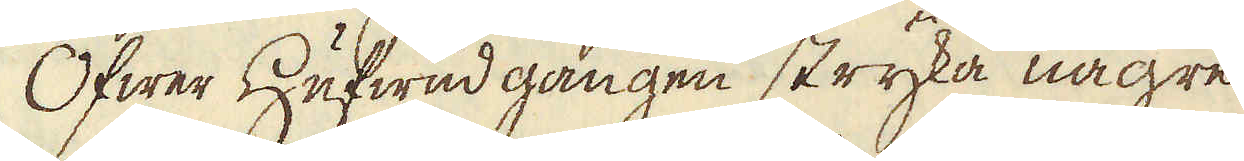Öfwer Hufwud gången stryka någre
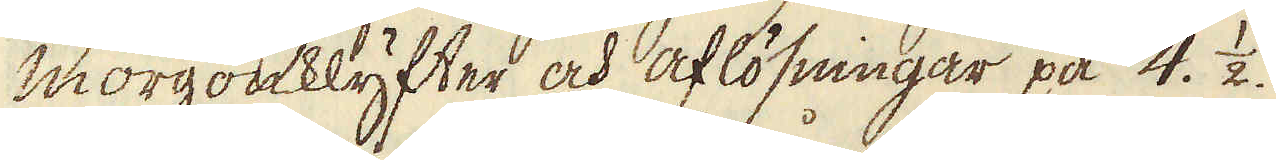morgonklyfter och aflösningar på 4. 1/2.
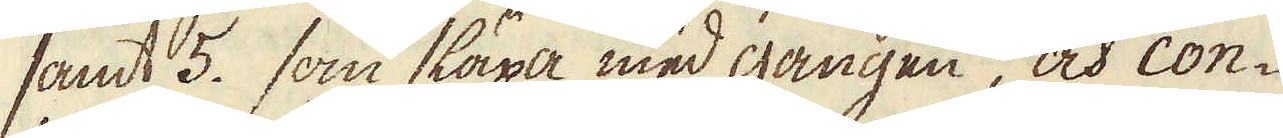samt 5. som släpa med gången, och con-
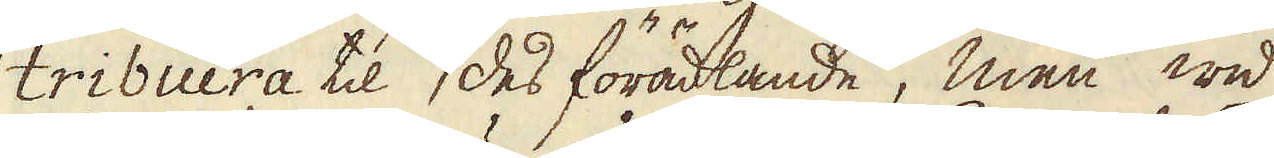tribuera til des förädlande, men wid
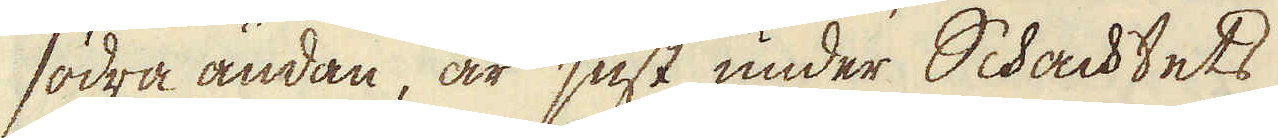södra ändan, är just under Schachtets
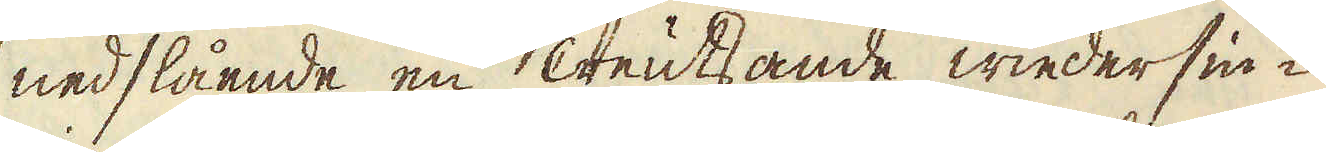nedslående en creutsande wiedersin-
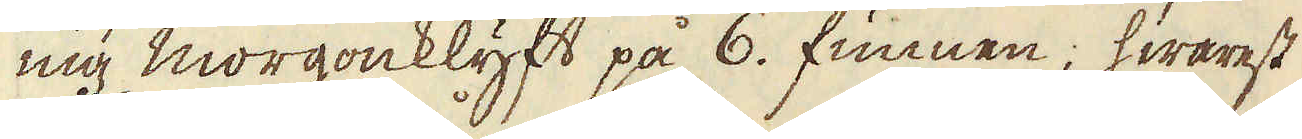nig morgonklyft på 6. funnen; hwarest
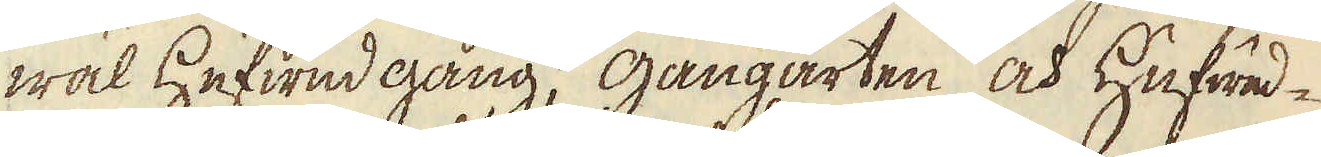wäl Hufwud gång, gångarten och Hufwud-
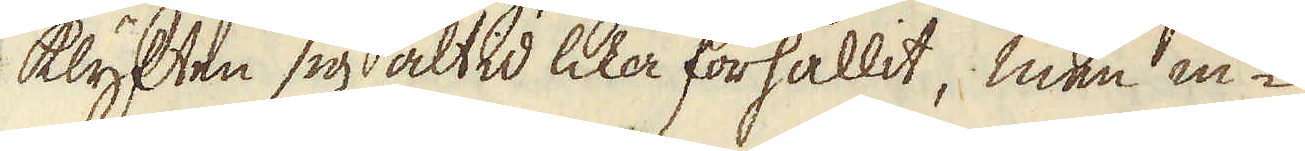klyften sig altid lika förhållit, men in-
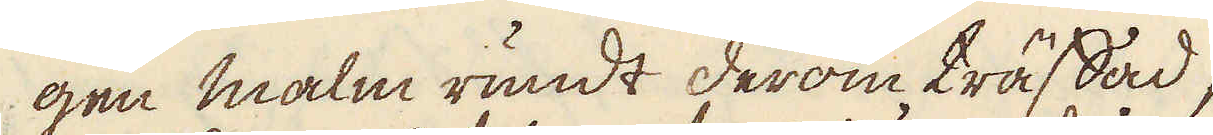gen malm rundt derom träffad,
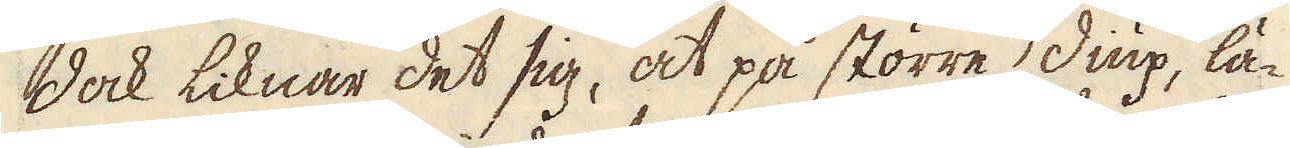dock liknar det sig, at på större diup, lä-
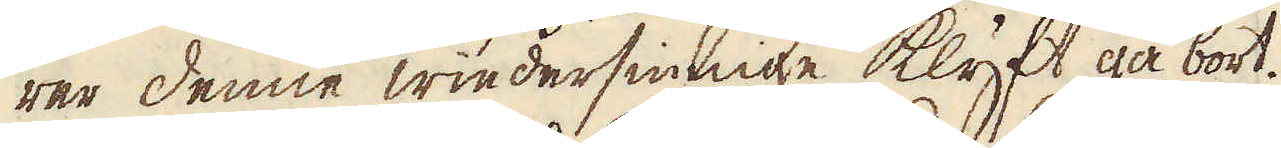rer denne wiedersinnge klyft gå bort.
